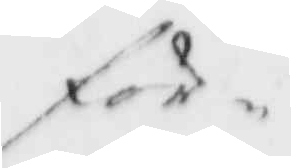för
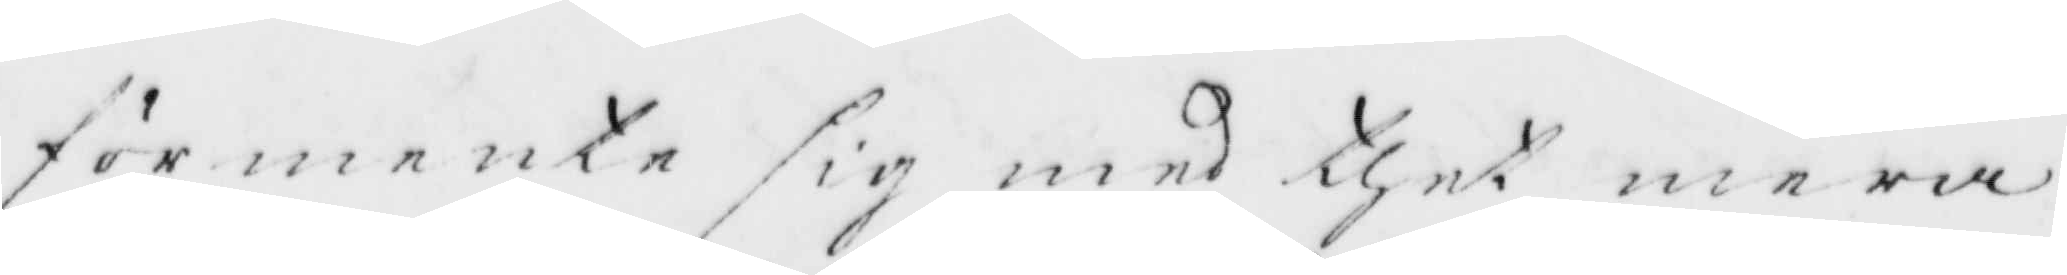förmente sig med thet mera
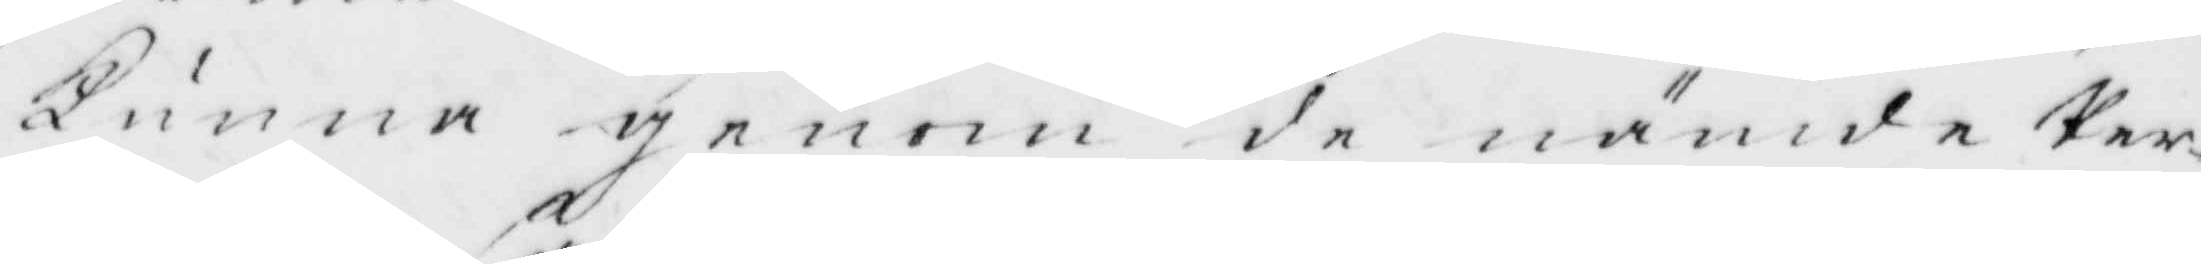Kunna genom de nämnde Per¬
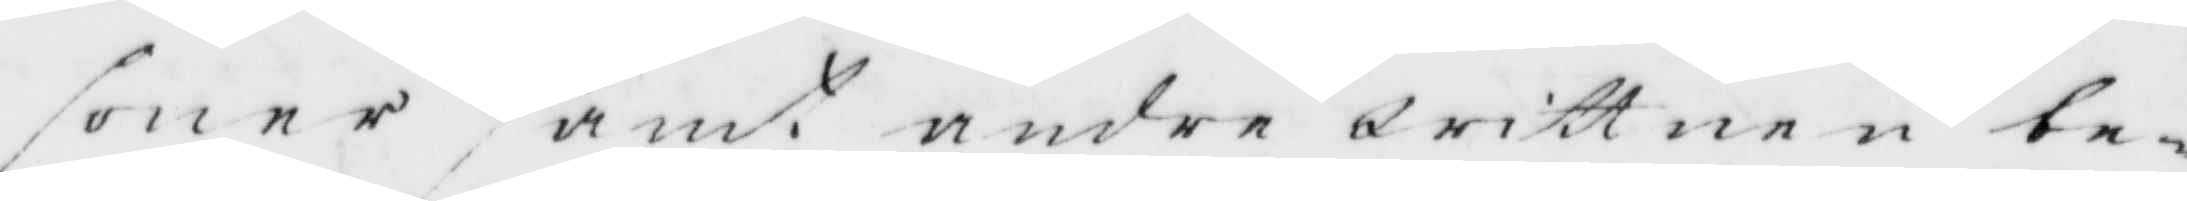soner samt andre wittnen be¬
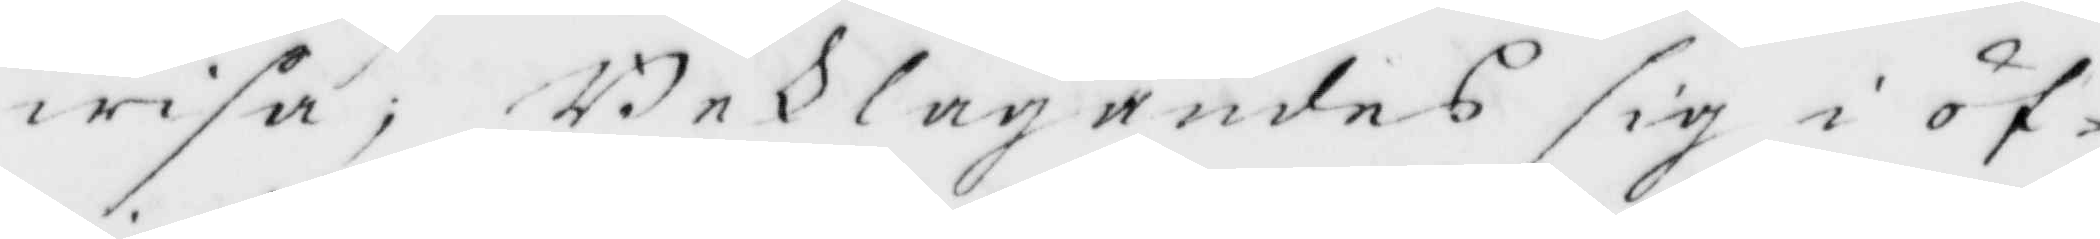wisa, Beklagandes sig i öf¬
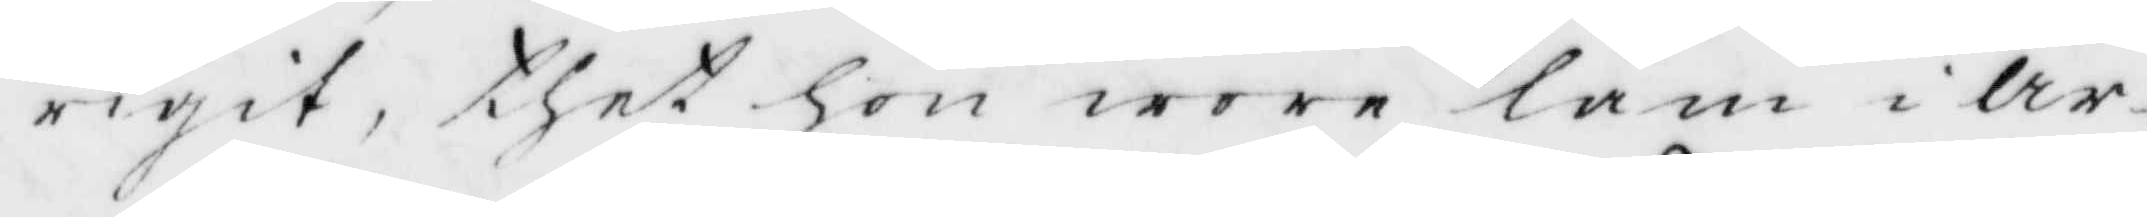rigit, thet hon wore lam i Ar¬
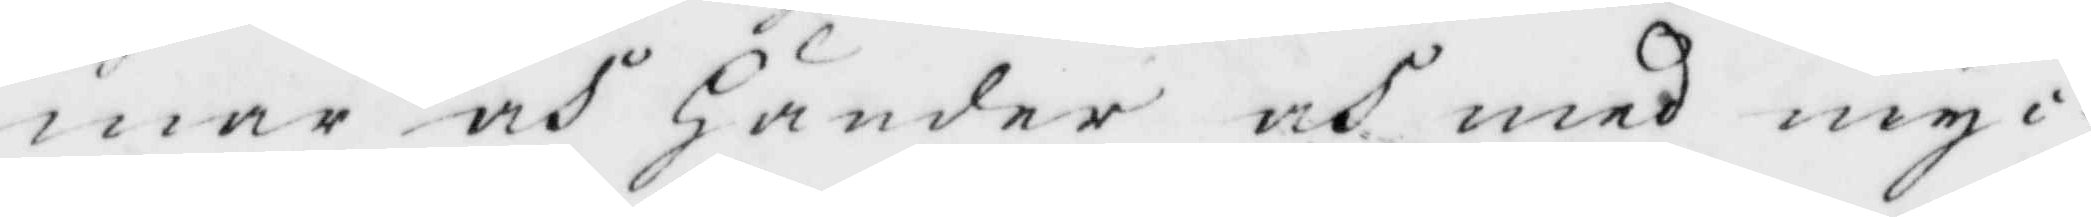mar och Händer och med myc¬
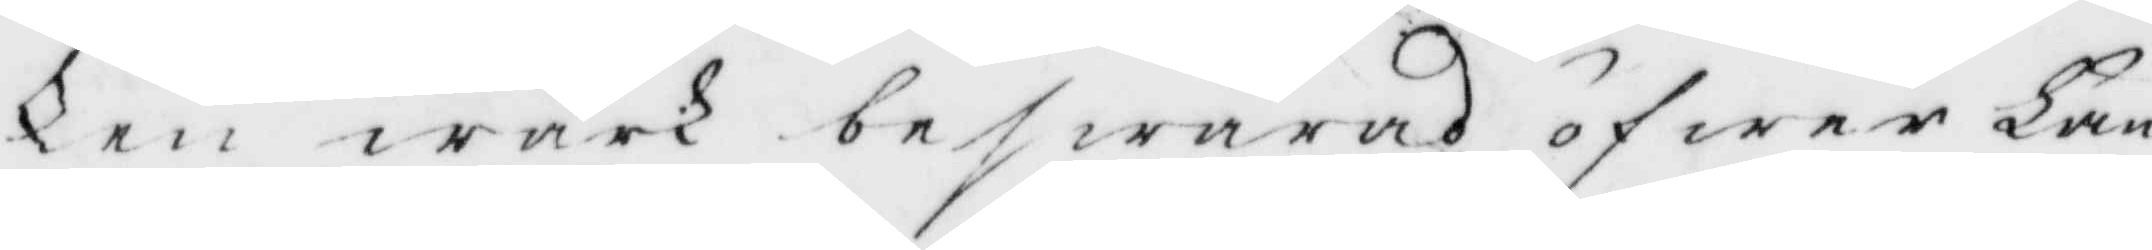ken wärk beswärad öfwer Hän¬
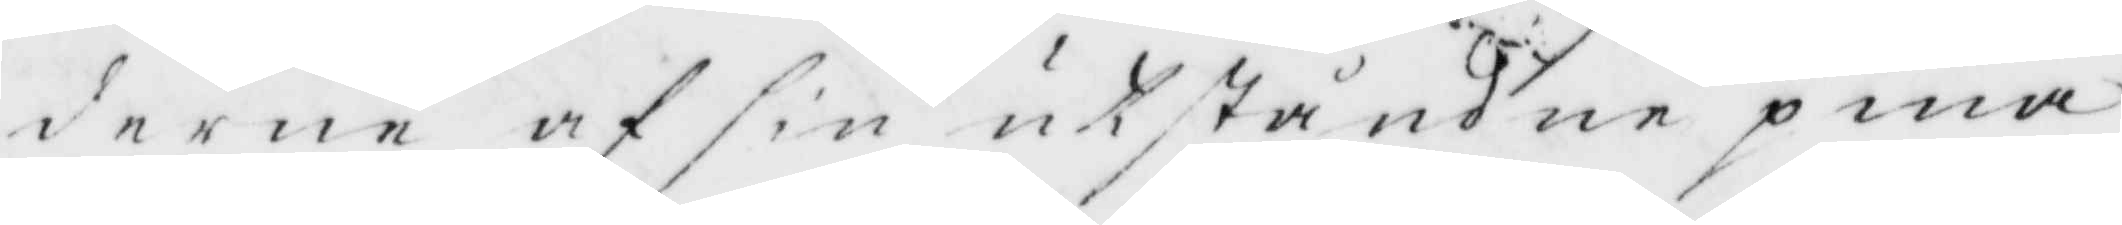derne af sin utståndne pina
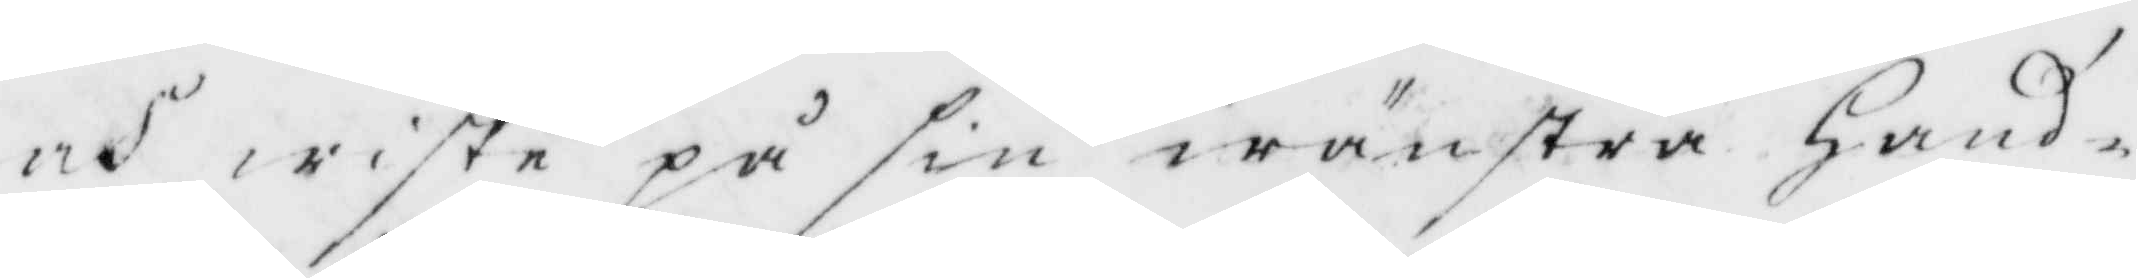och wiste på sin wänstra hand¬
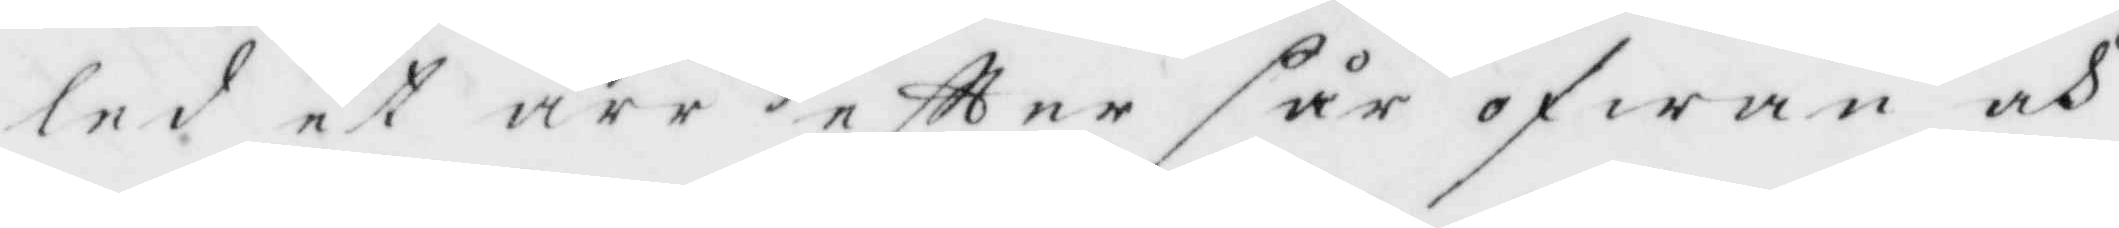led at ärr eftter sår ofwan och
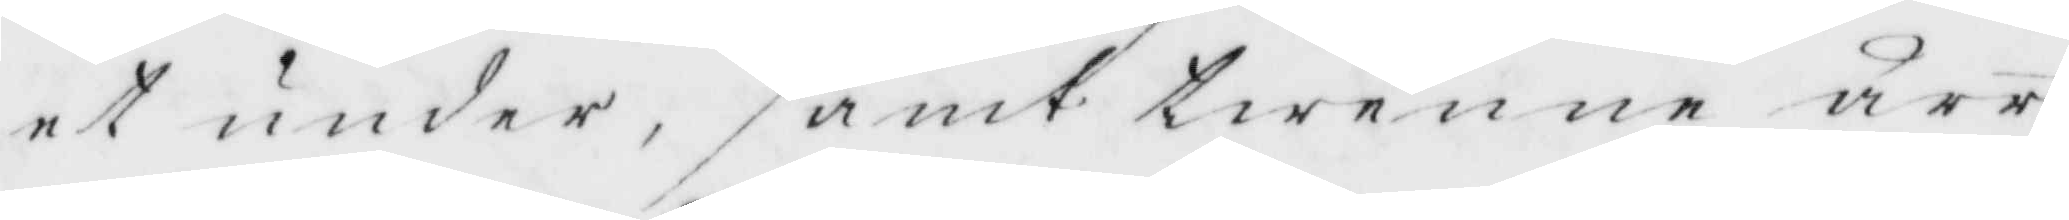et under, samt twenne ärr
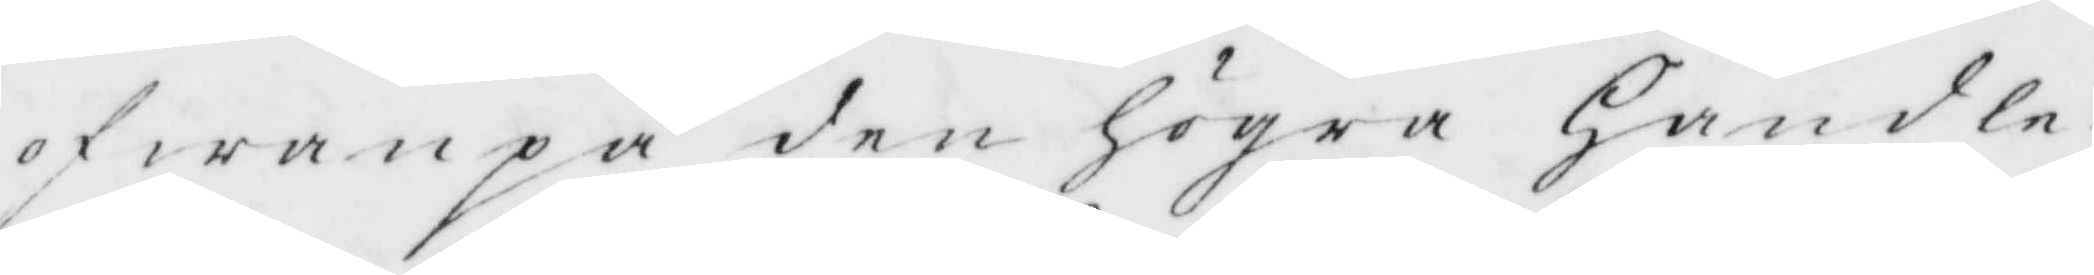ofwanpå den högra Handle¬
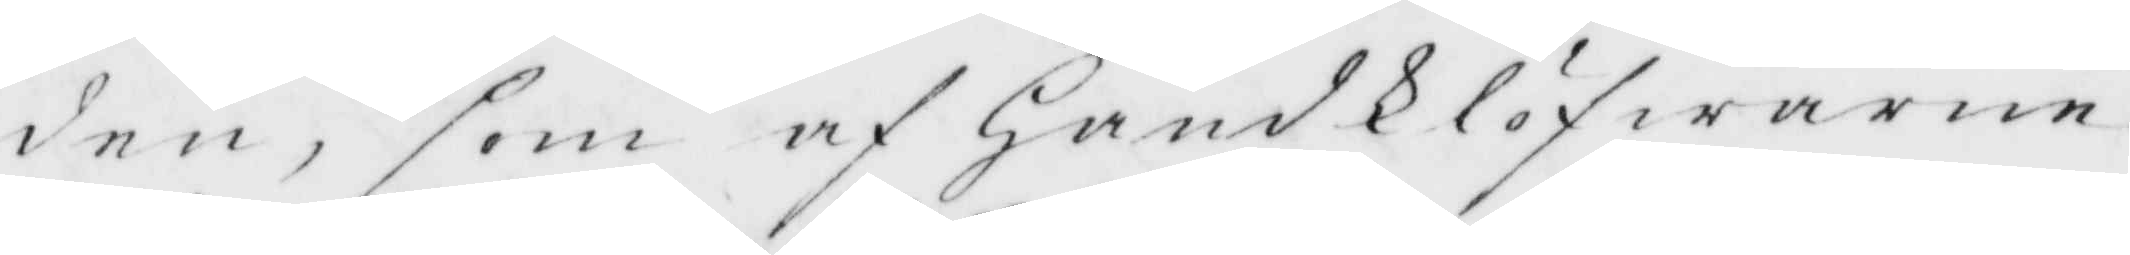den, som af HandKlöfwarne
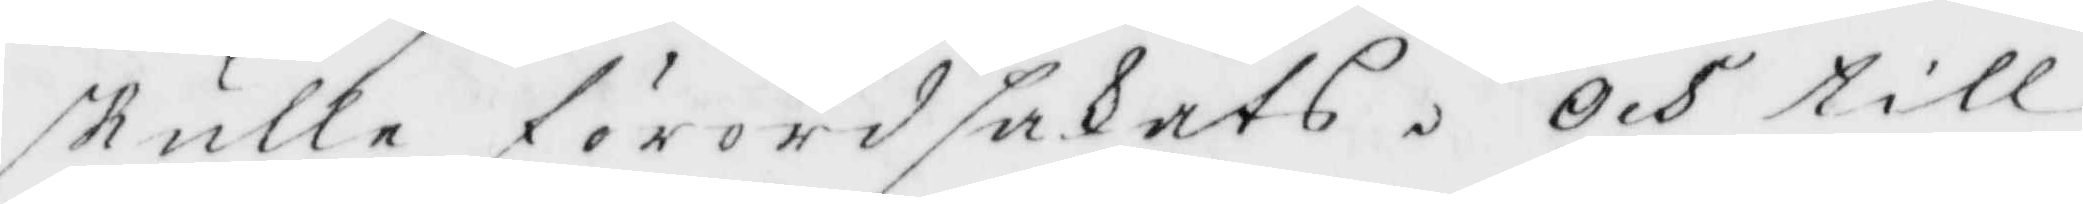skulle förordsakats. Och till
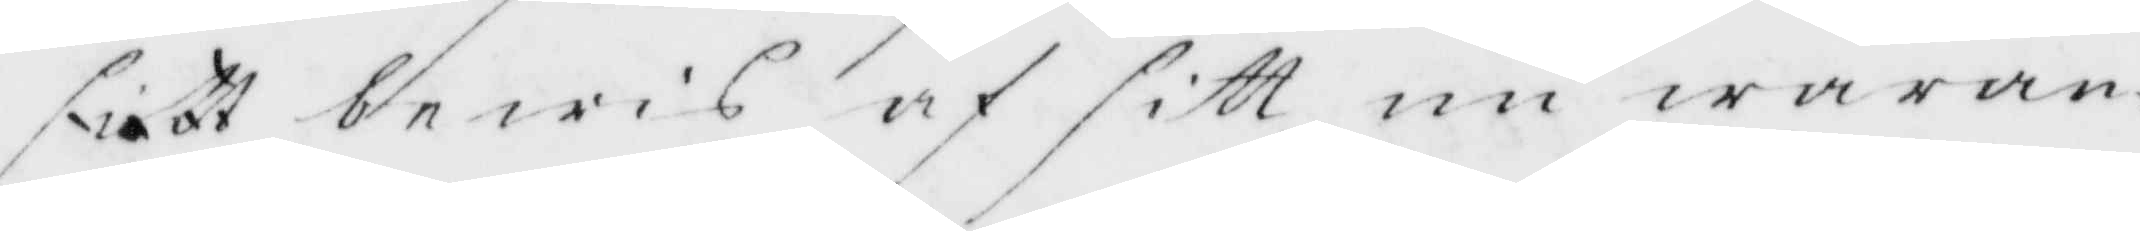sitt bewis af sitt nu waran¬
